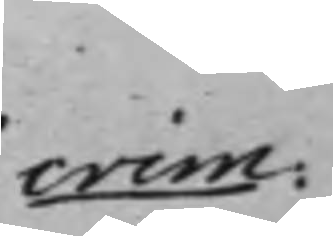crim:
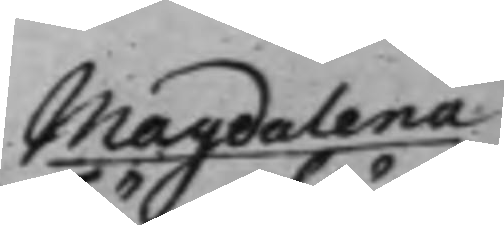Magdalena
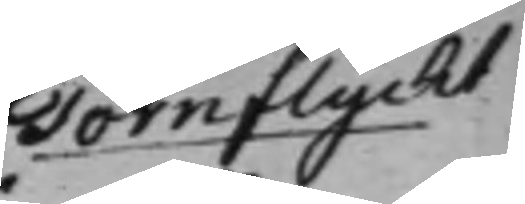Törnflycht
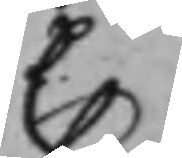C.
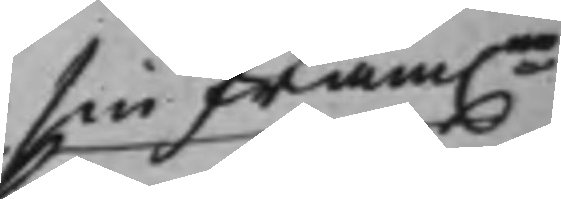sin fram.ne
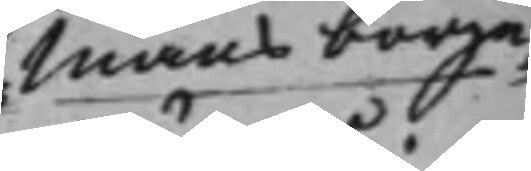Mans borge¬
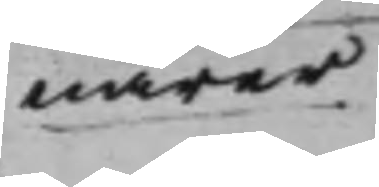närer.
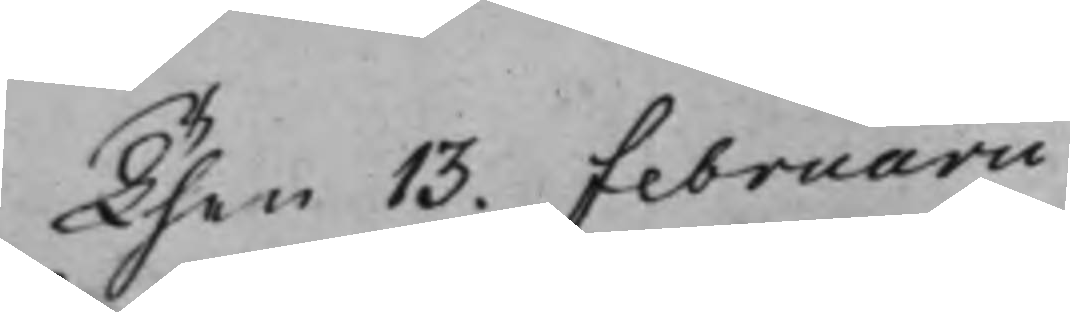Then 13. Februarii
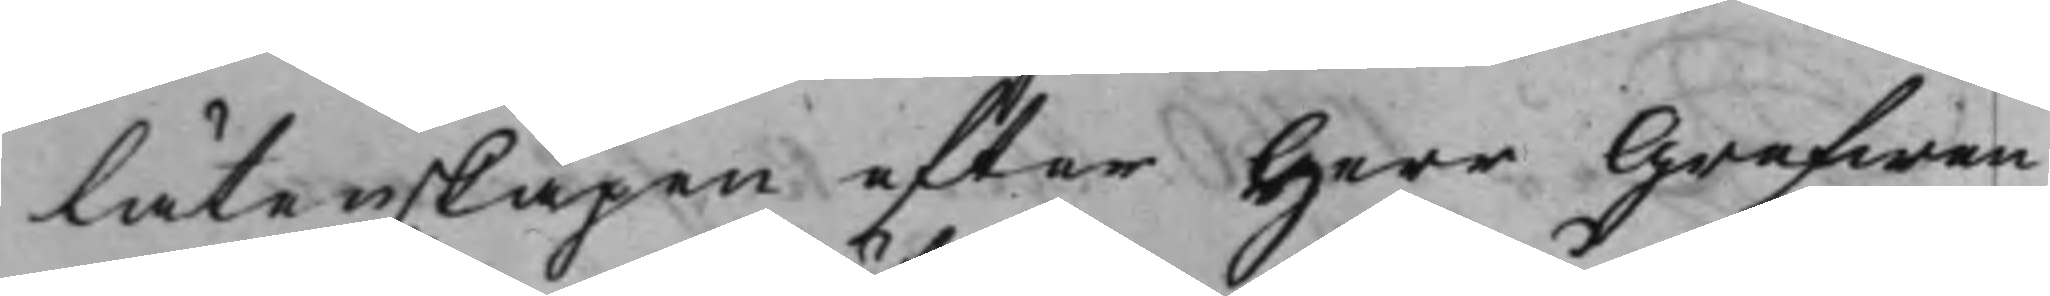låtenskapen efter Herr Grefwen
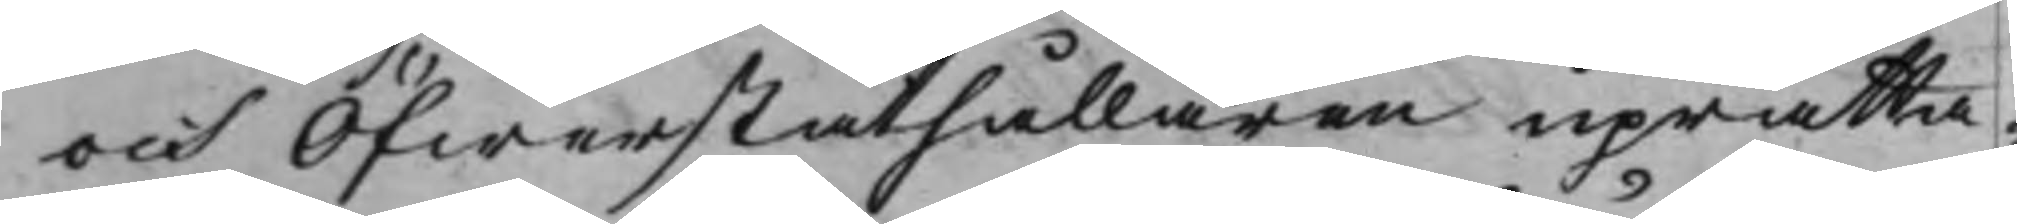och Öfwerståthållaren uprätta¬
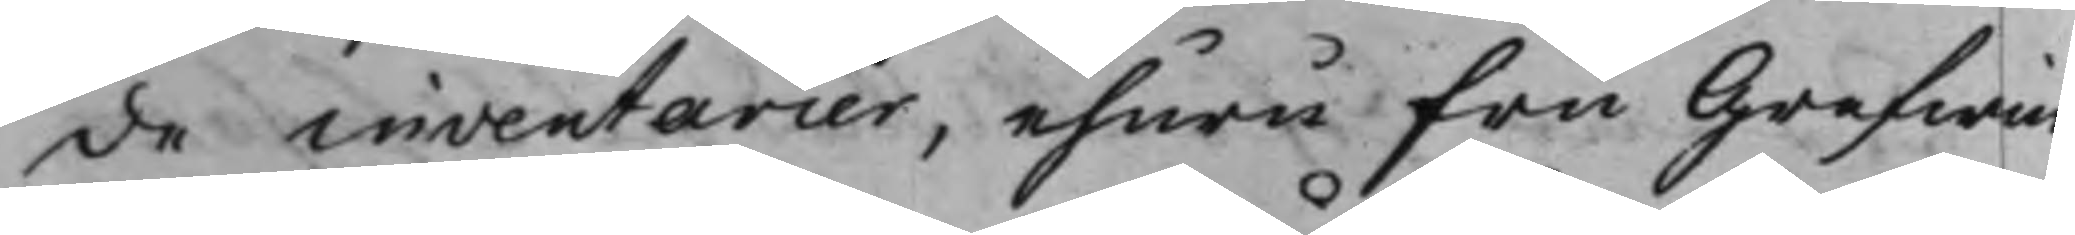de inventarier, ehuru Fru Grefwin¬
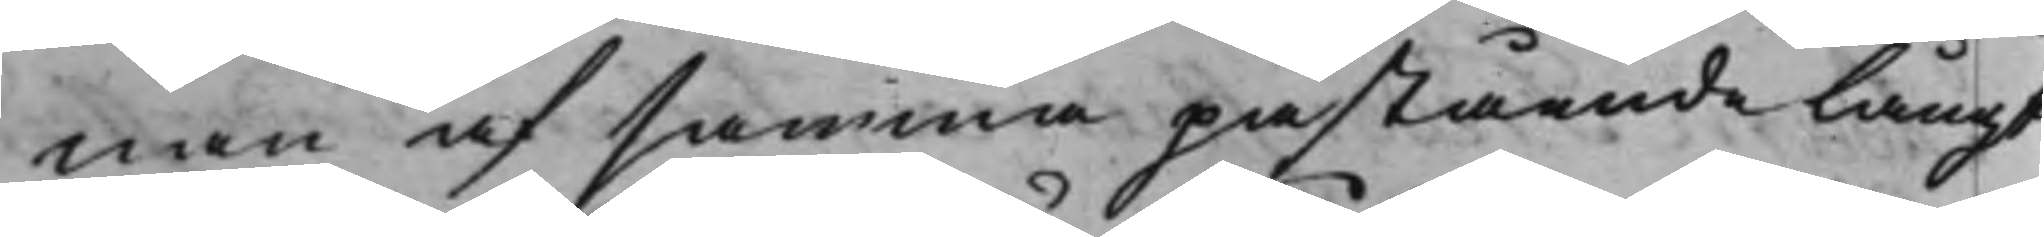nan af samma påstående långt
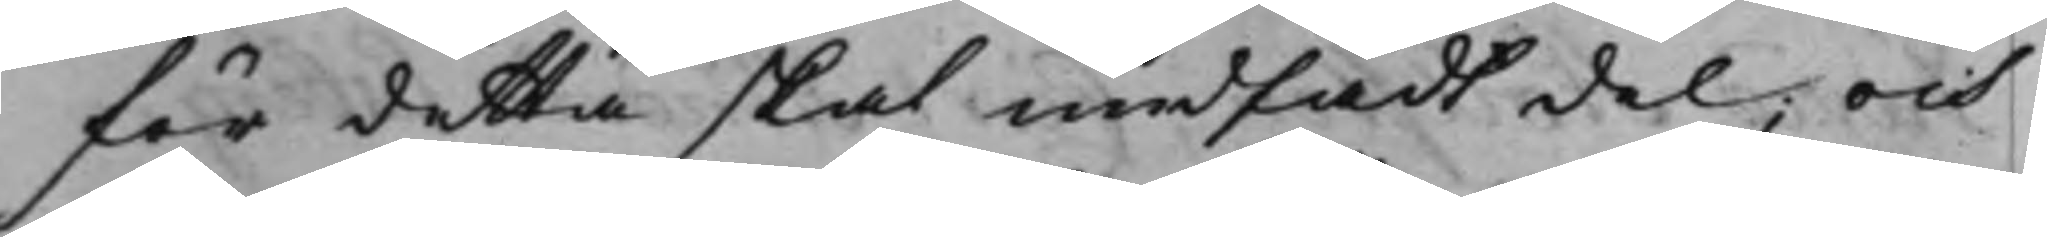för detta skal undfådt del; och
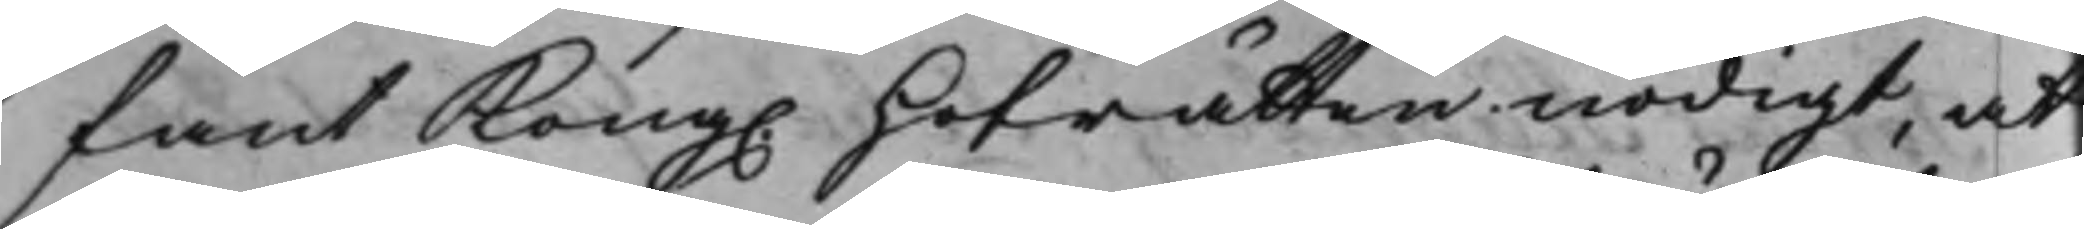fant Kong. Hofrätten nödigt, at
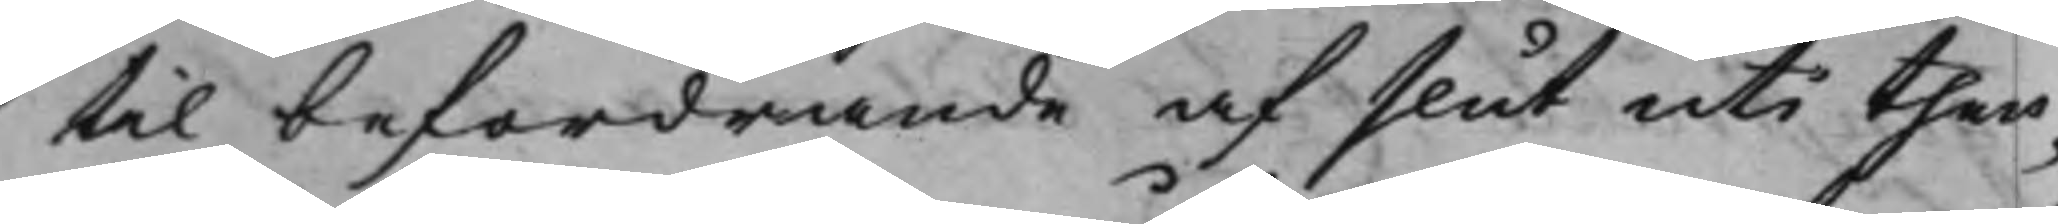til befordrande af slut uti then¬
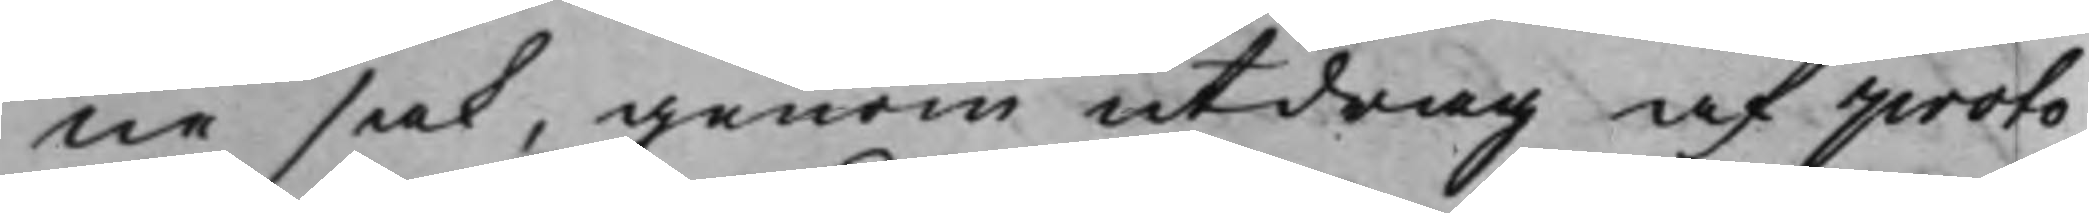ne sak, genom utdrag af proto¬
